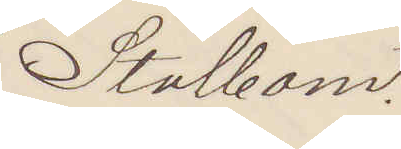Stålbom.
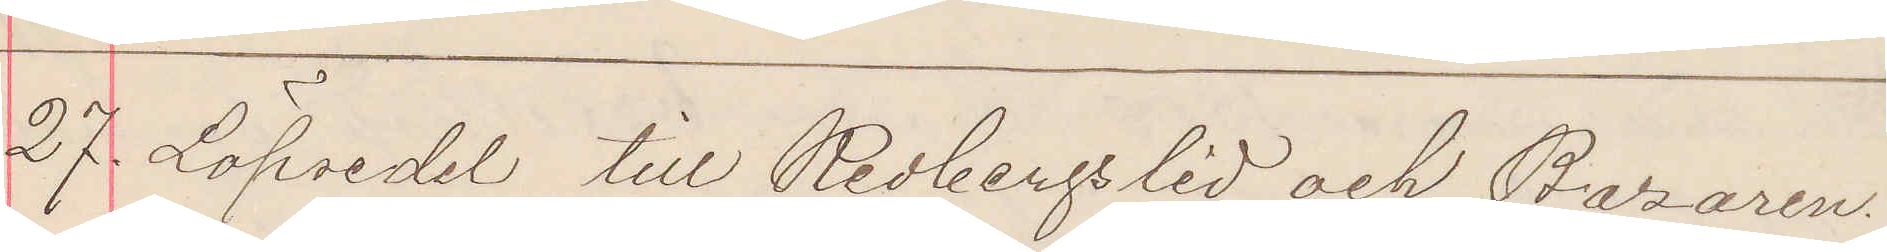27. Löpsedel till Redbergslid och Bazaren.
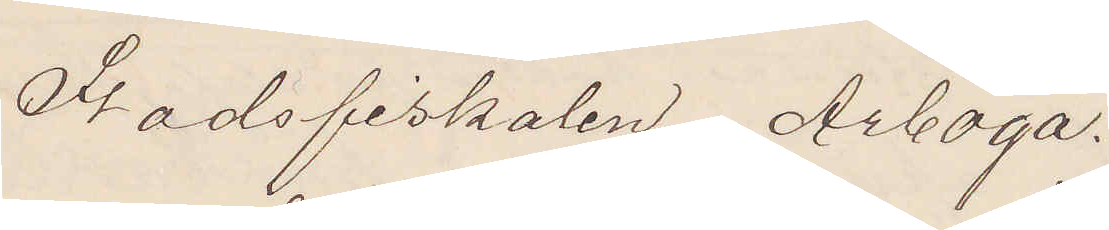Stadsfiskalen Arboga.
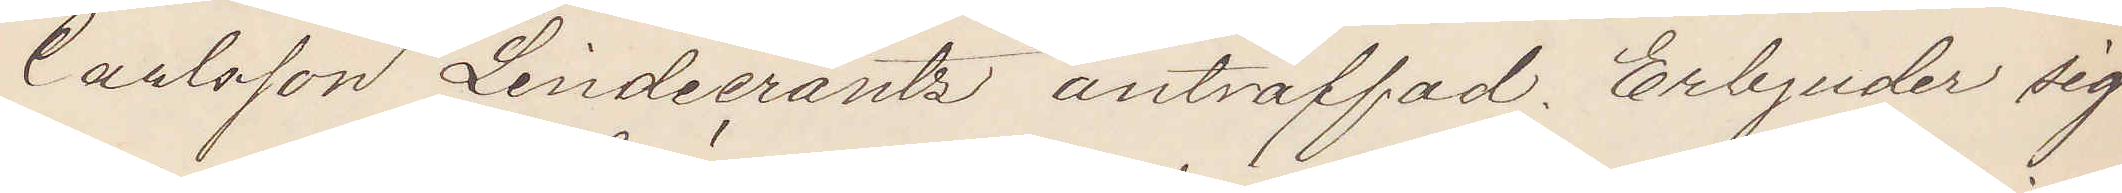Carlsson Lindecrantz anträffad. Erbjuder sig
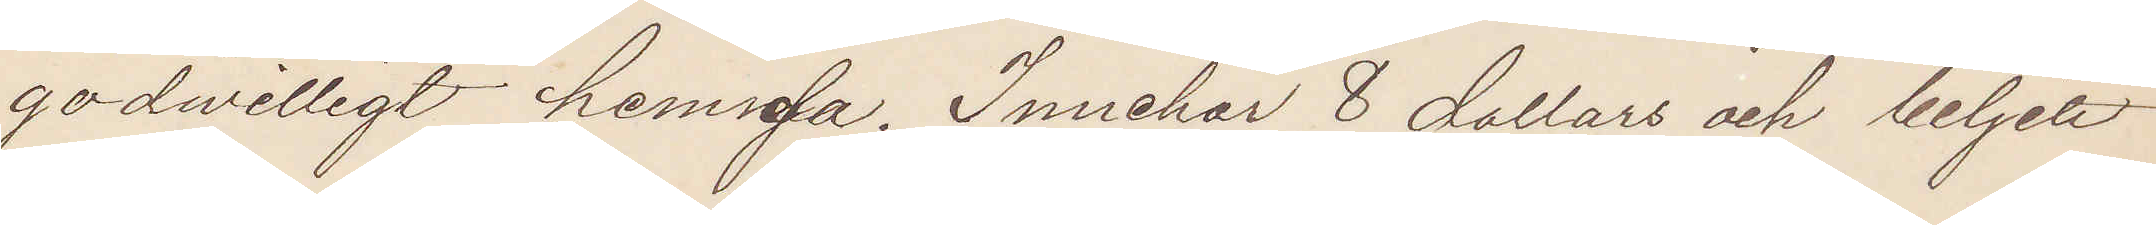godwilligt hemresa. Innehar 8 dollars och biljett
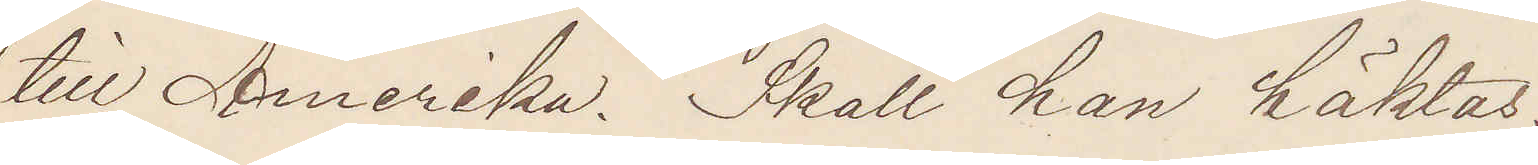till Amerika. Skall han häktas.
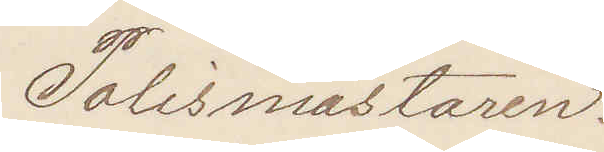Polismästaren.
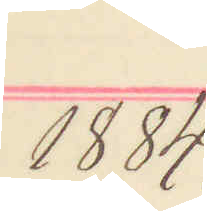1884.
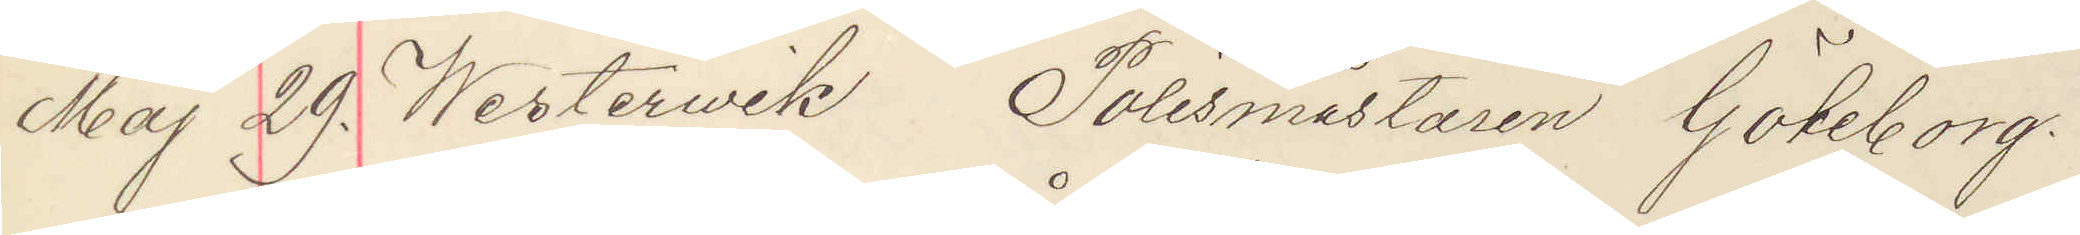Maj 29. Westervik Polismästaren Göteborg.
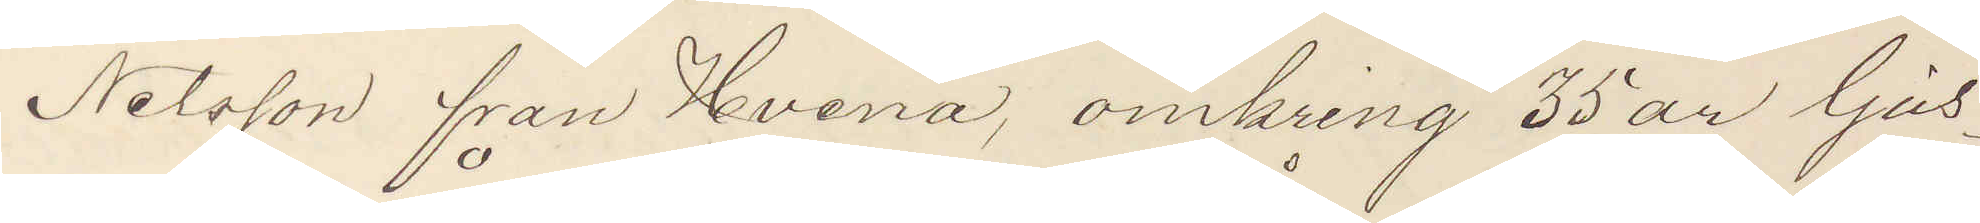Nilsson från Hvena, omkring 35 år ljus¬
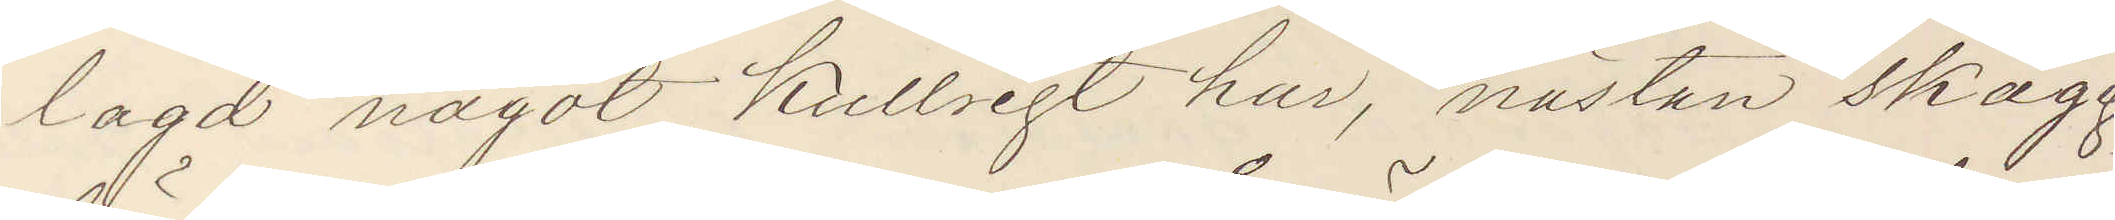lagd något kullrigt hår, nästan skägg¬
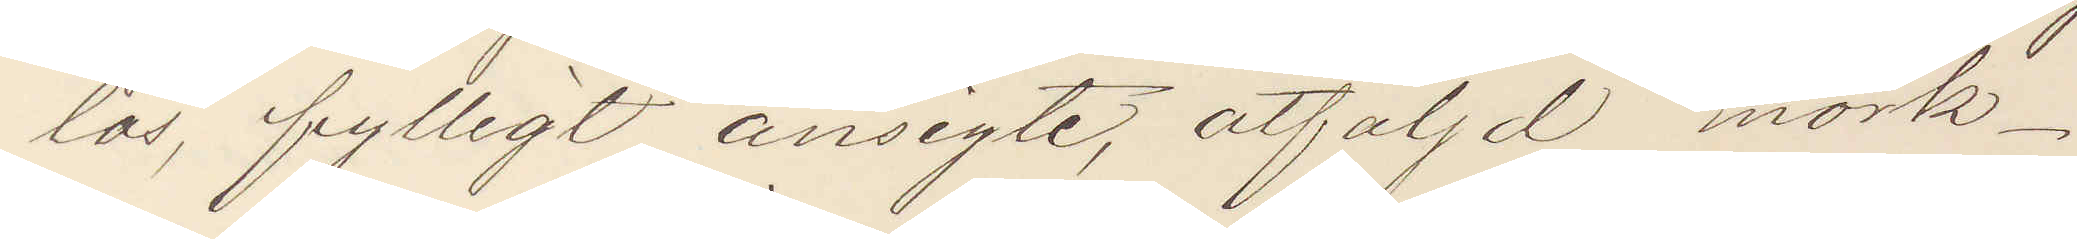lös, fylligt ansigte, åtföljd  mörk¬
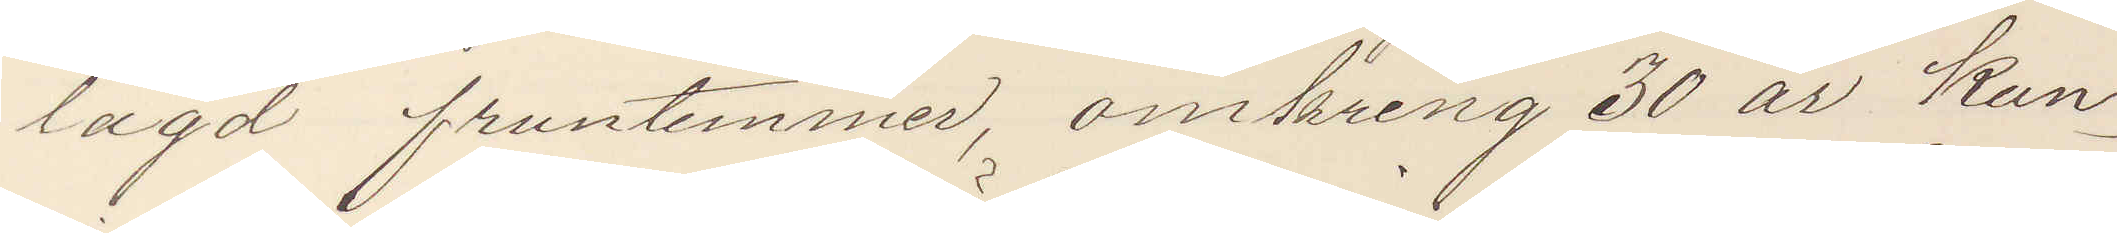lagd fruntimmer, omkring 30 år kun¬
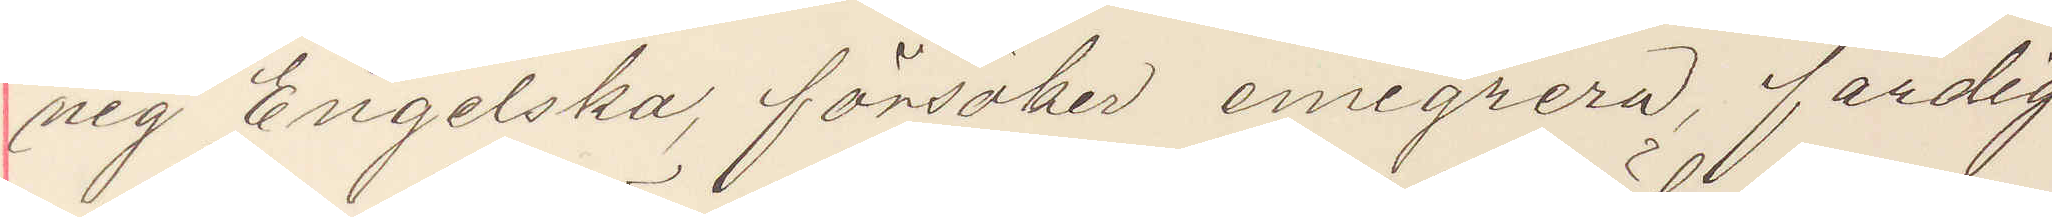nig Engelska, försöker emigrera, färdig
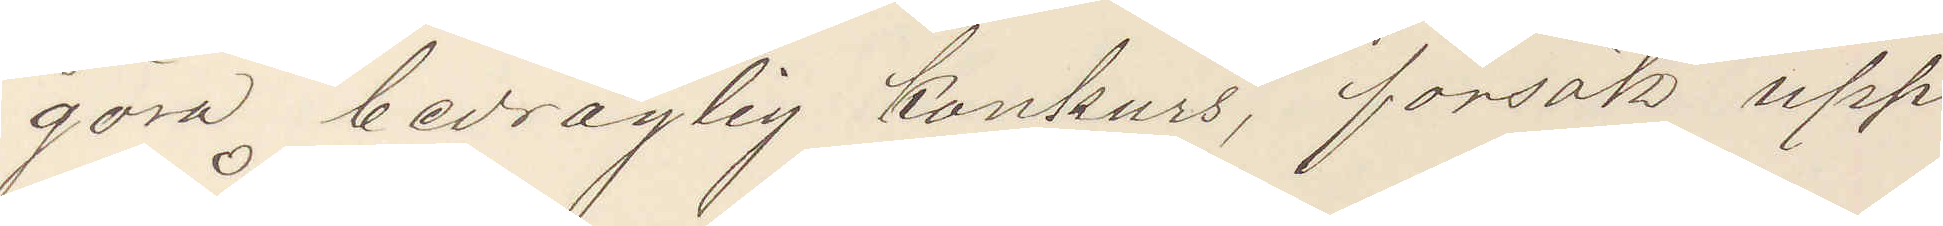göra bedräglig konkurs, försök upp¬
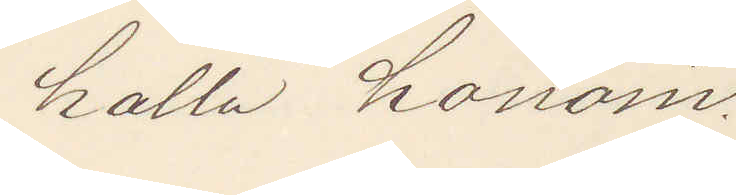hålla honom.
